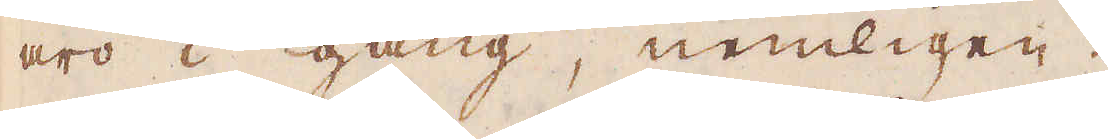äro i gång, nemligen:
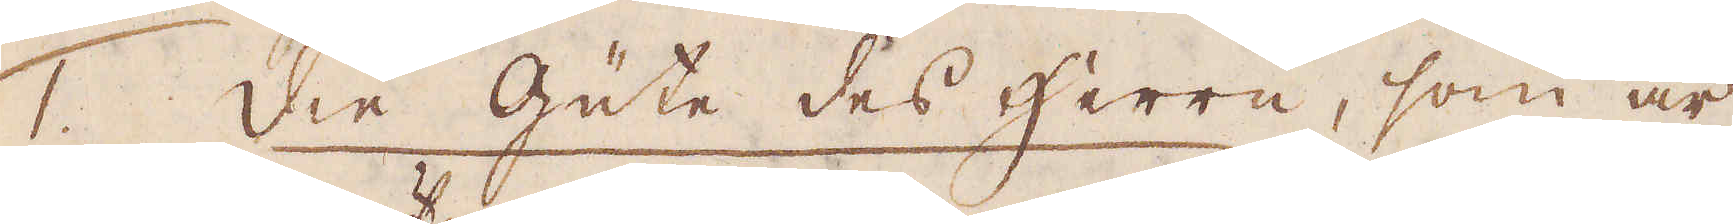1. Die gute des herrn, som är
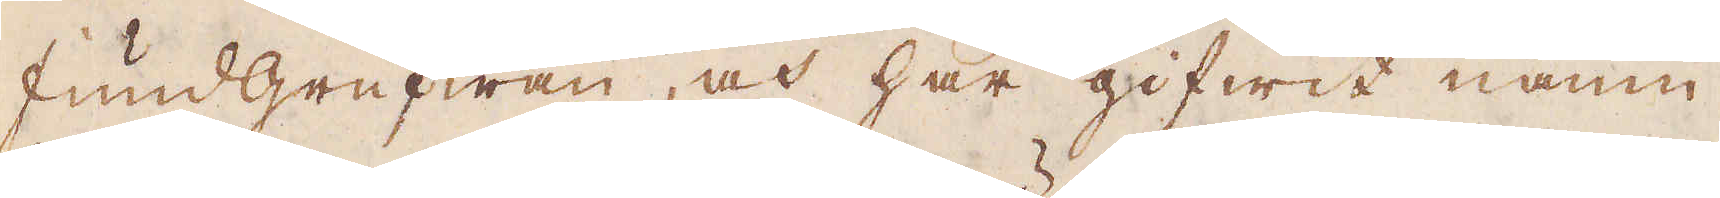fundgrufwan, och har gifwit namn
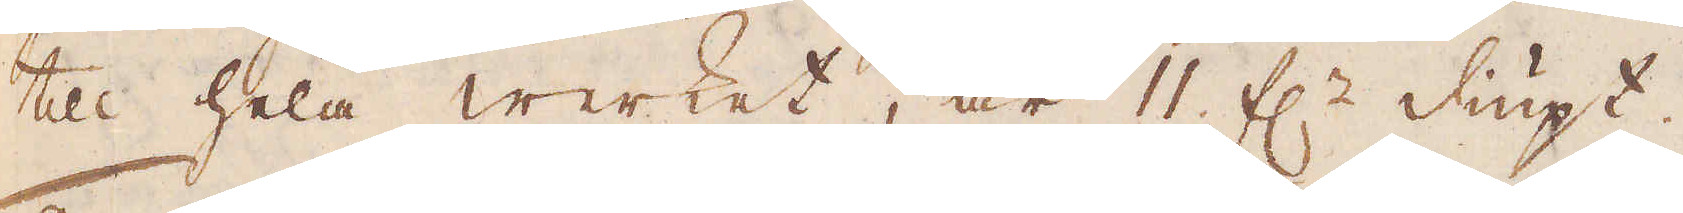till hela werket, är 11 f:r diupt.
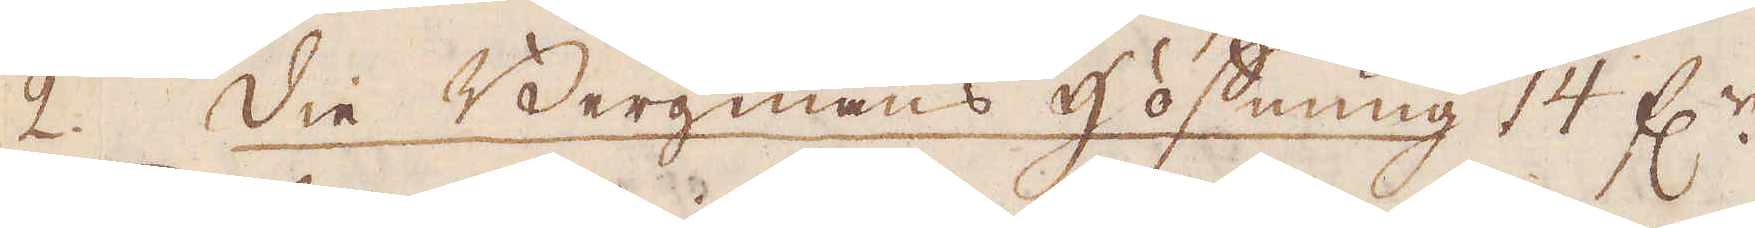2. die Bergmans Hoffnung 14 f:r
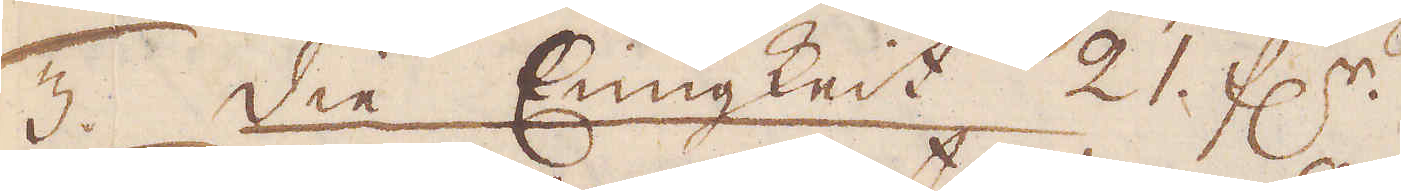3. die Enigkeit 21 f:r.
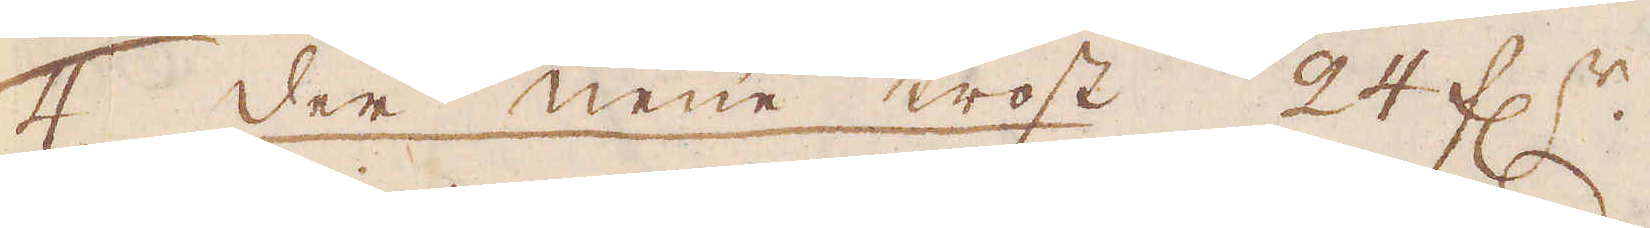4. der neüe trost 24 f:r.
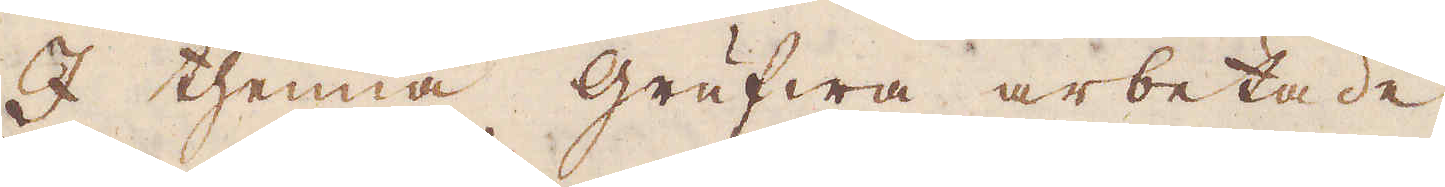I thenna grufwa arbetade
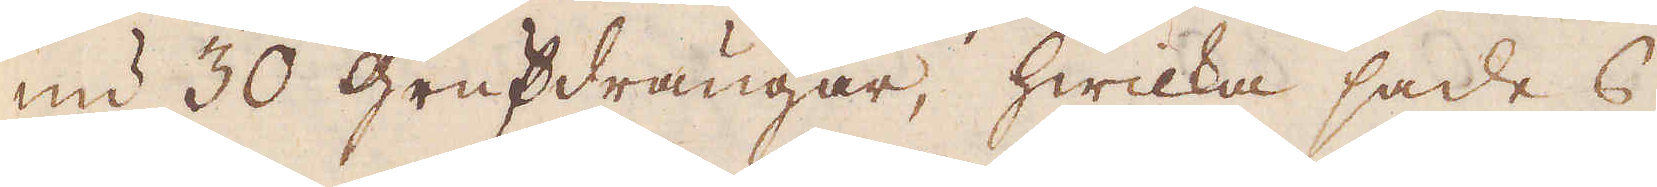nu 30 grufdrängar, hwilka sades
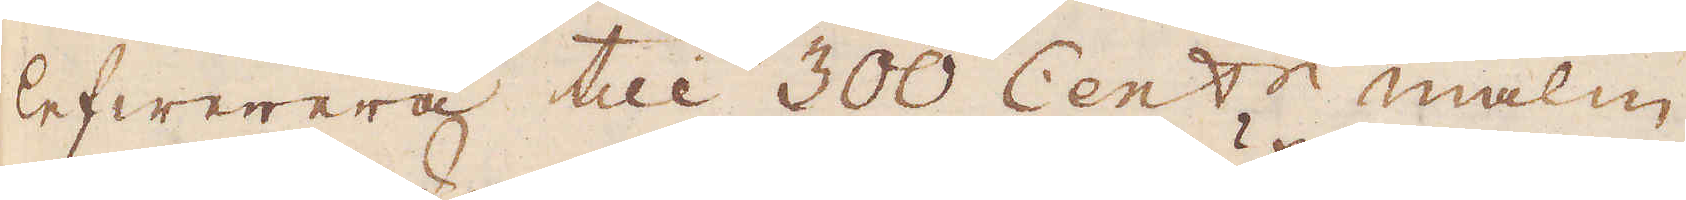lefwerera till 300 Cent:r malm
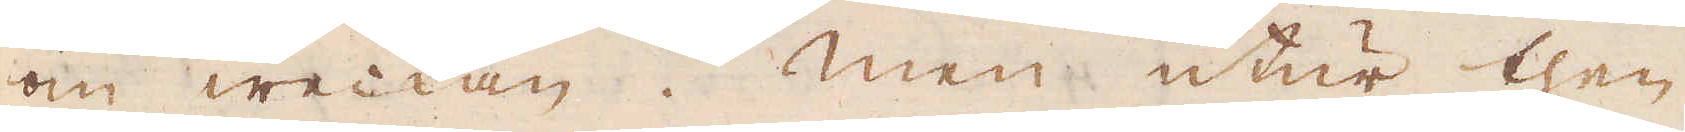om weckan; Men utur then
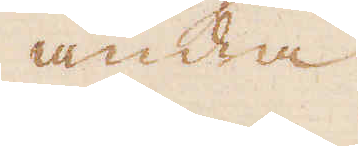andra
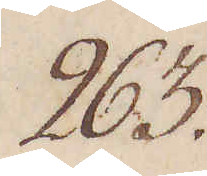263.
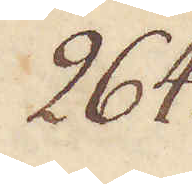264.
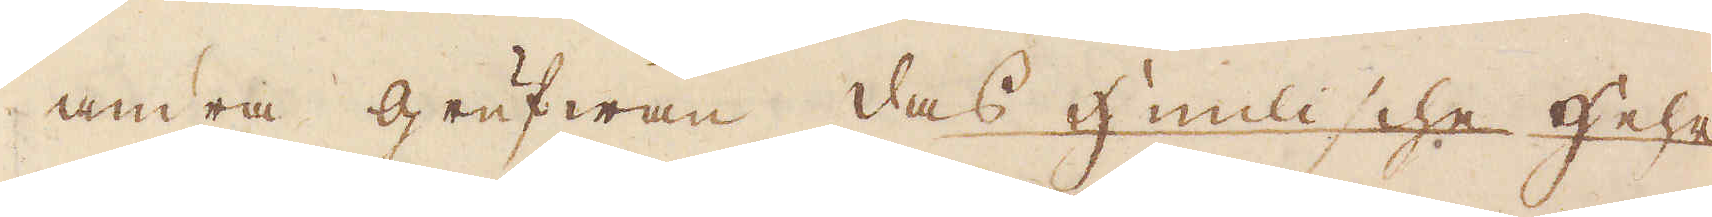andra grufwan, das Himlische Hehr
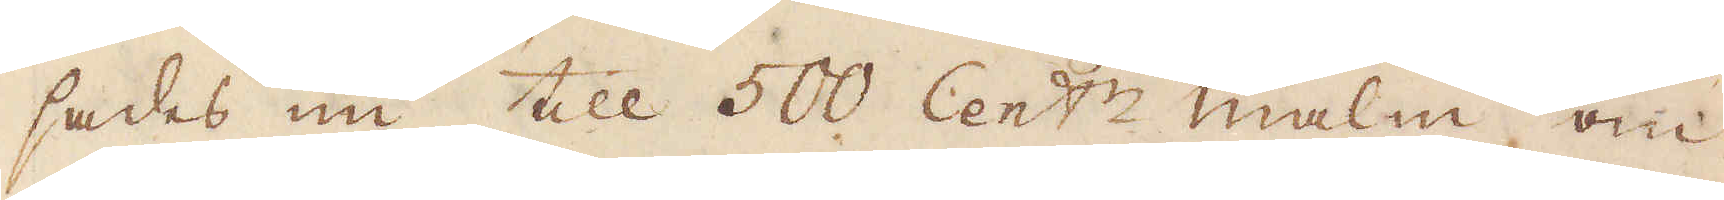sades nu till 500 Cent:r malm om
